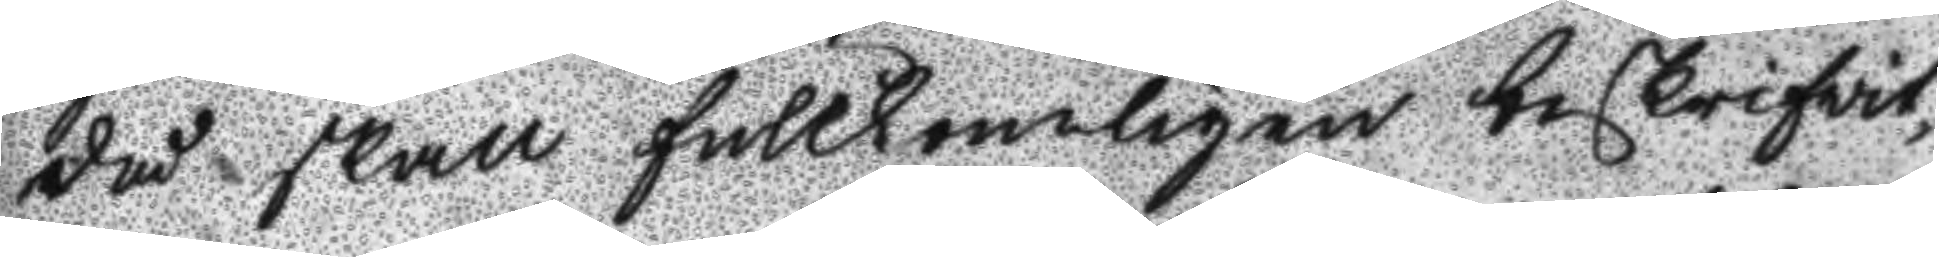då skall fullkombligen beskrifwit
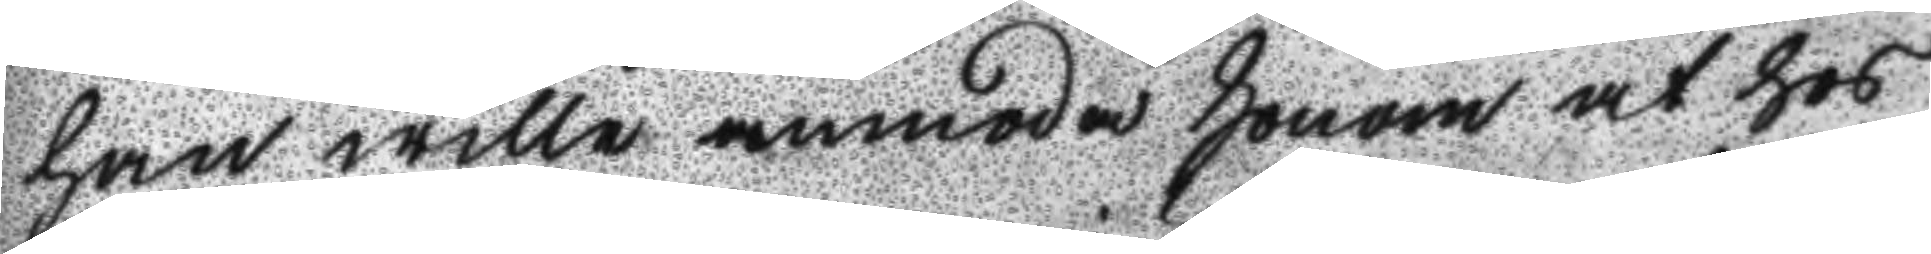han wille anmoda honom at hos
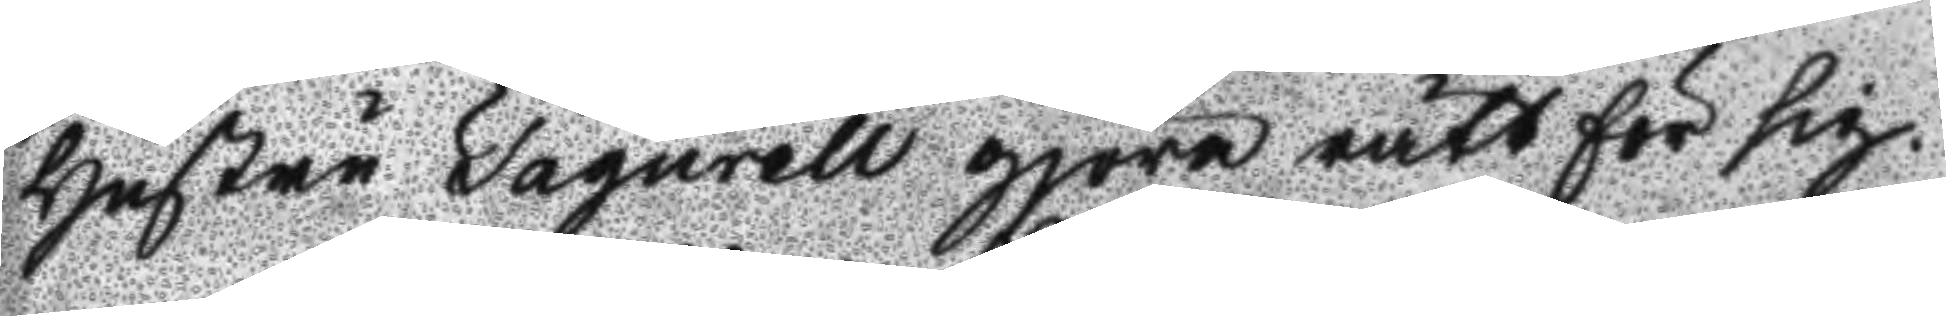Hustru Fagurell gjöra rätt för sig.
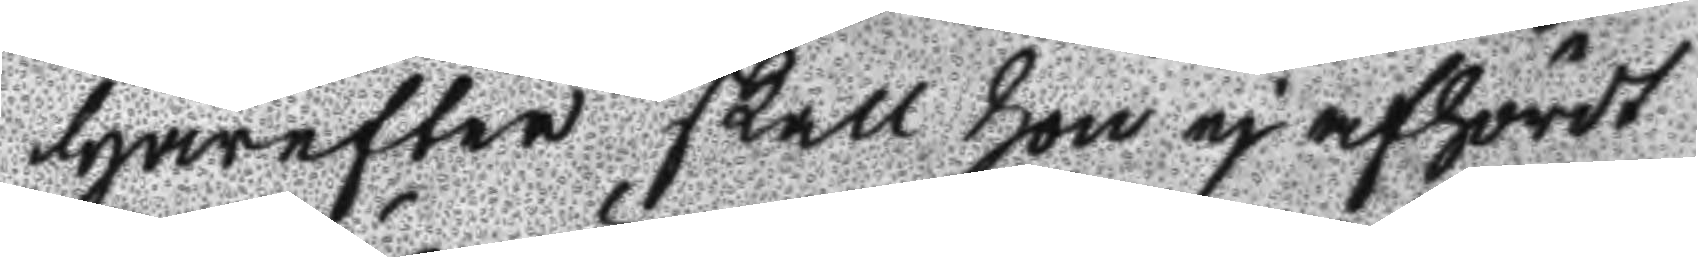Härefter skall hon ej afhördt
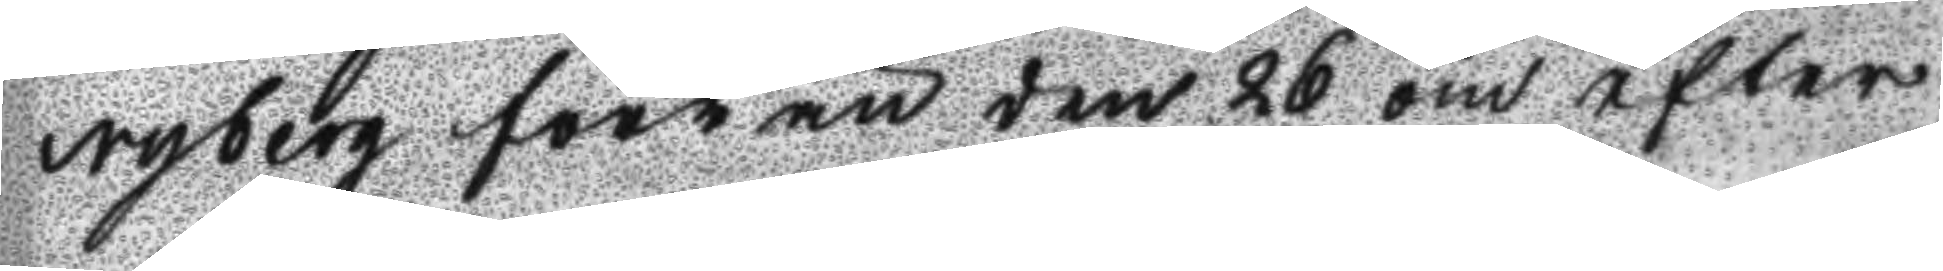Nyberg förr än den 26 om efter
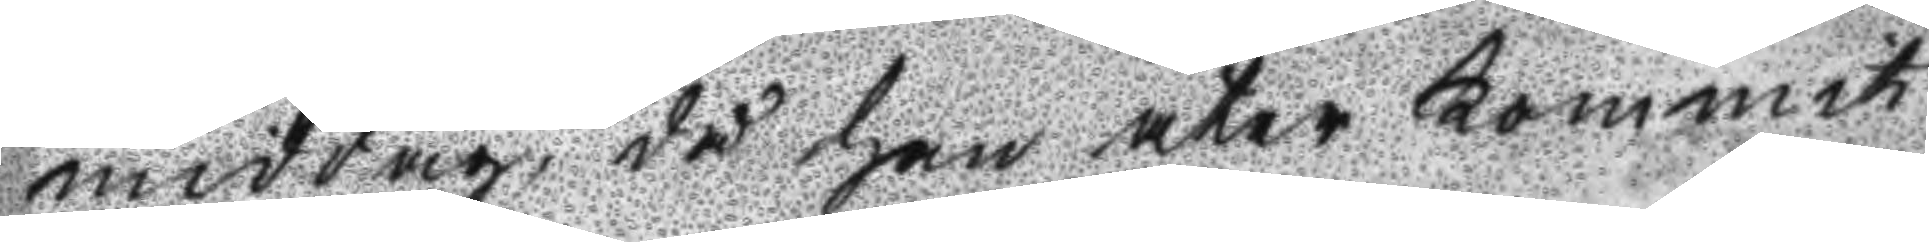middag, då han åter kommit
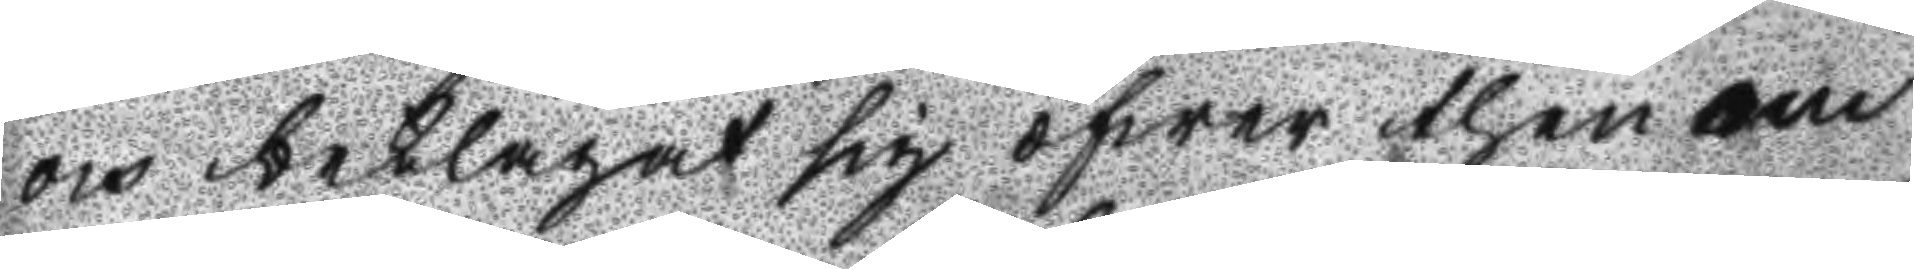och beklagat sig öfwer then om
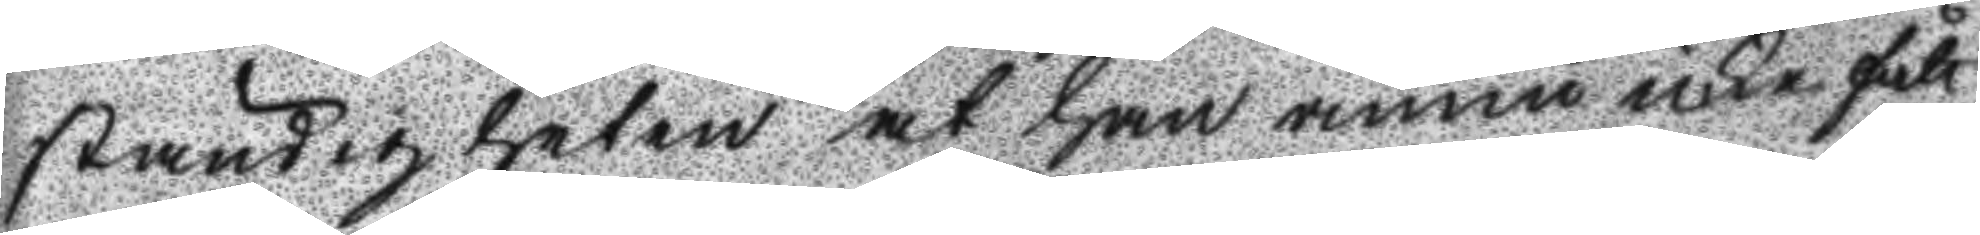ständigheten at han ännu icke fått
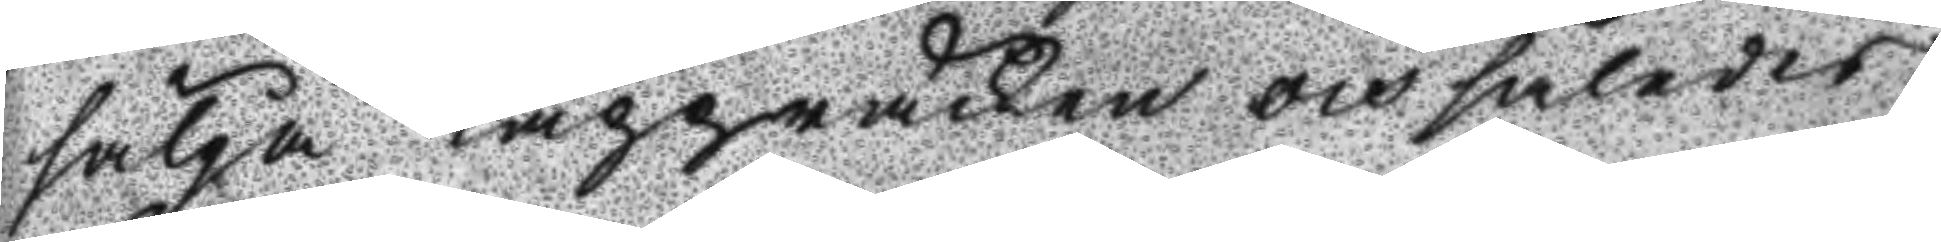sälga Kappråcken och således
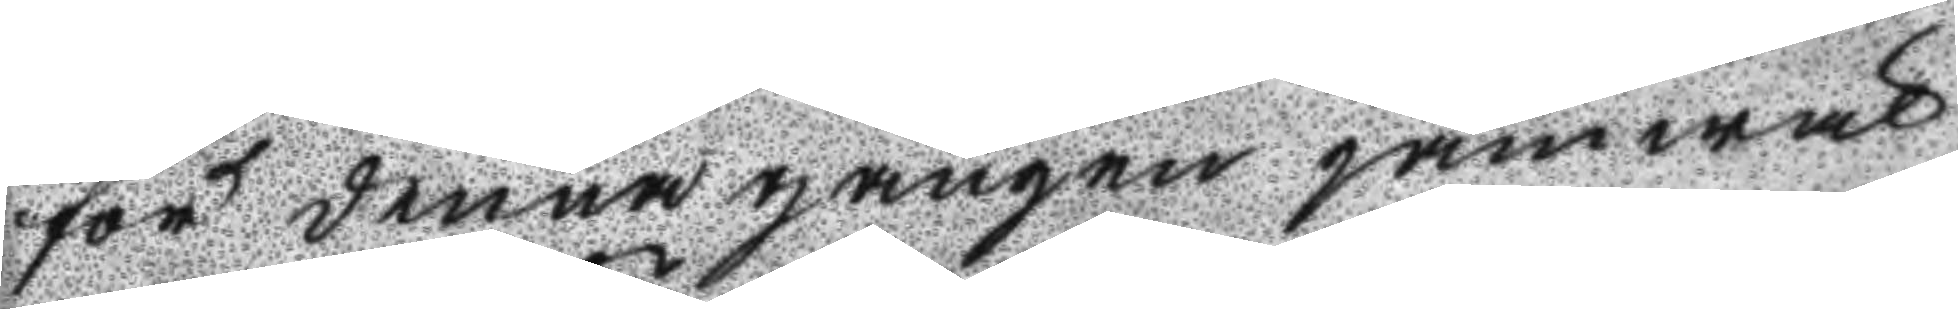för denna gången jämwäl
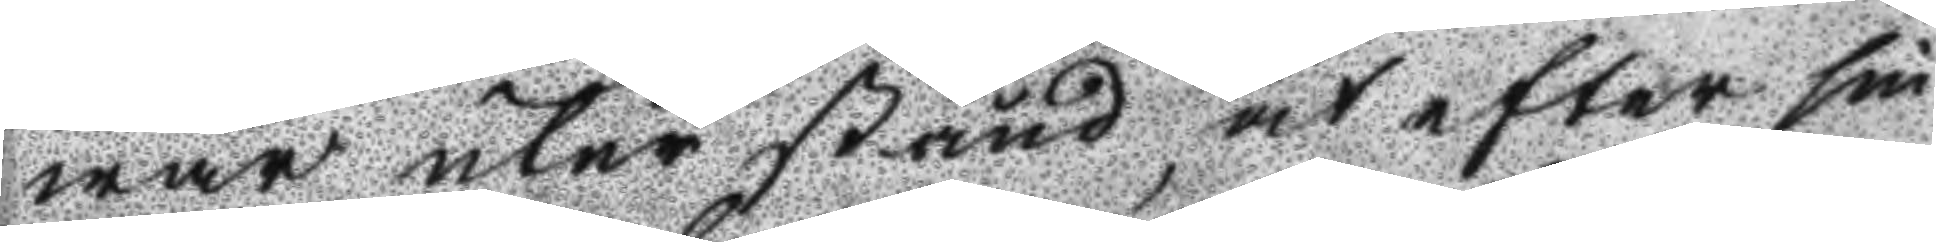war utur stånd, at efter sin
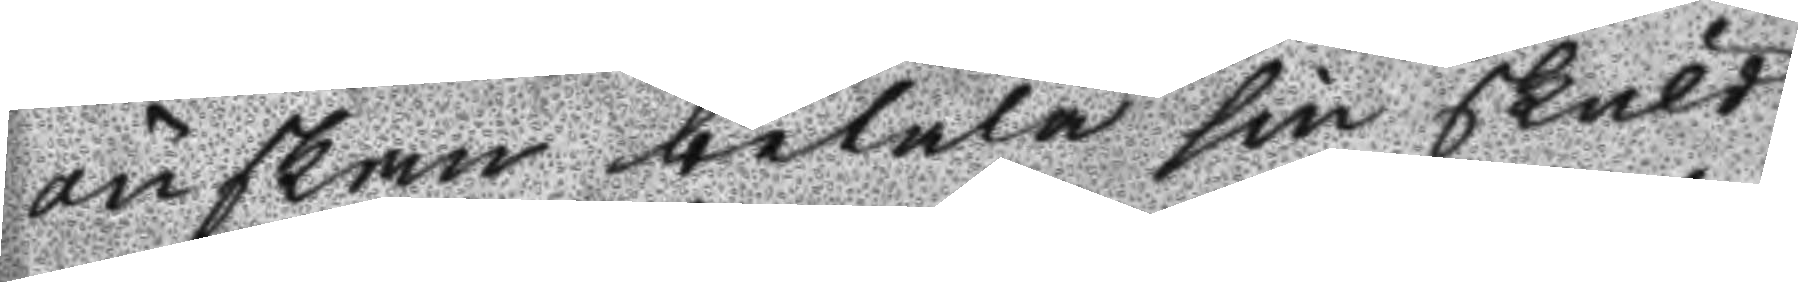önskan betala sin skuld,
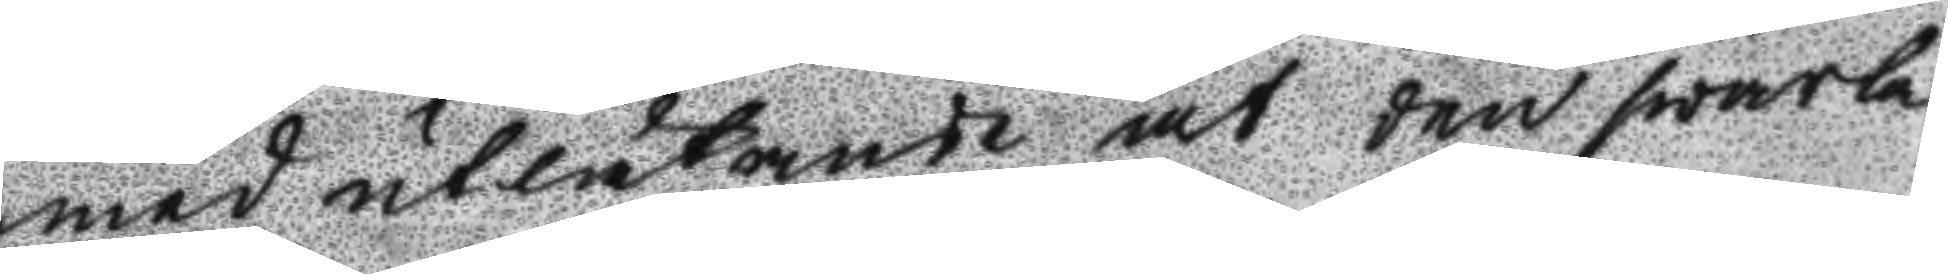med utlåtande at den swarta
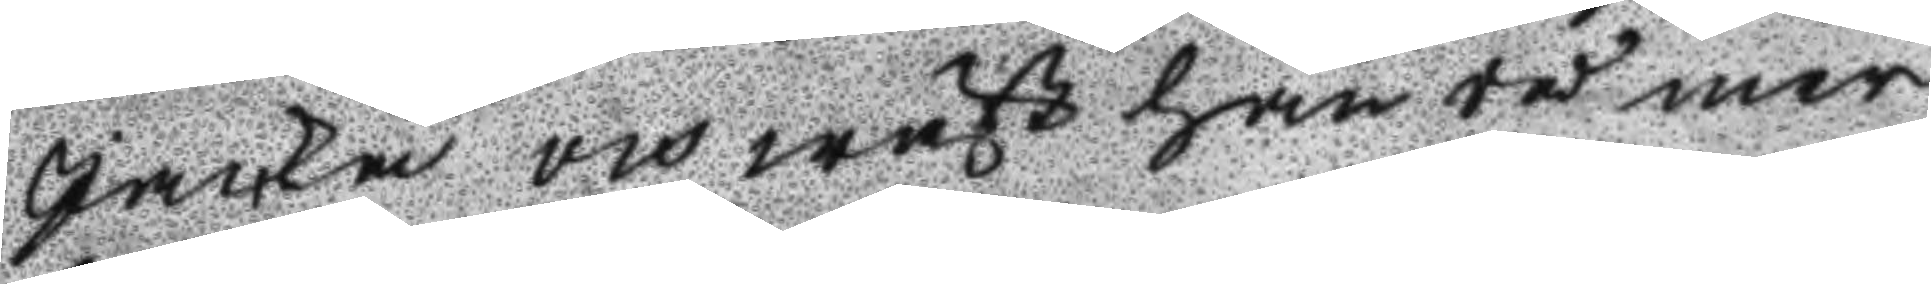Jacka och wäst han då mer
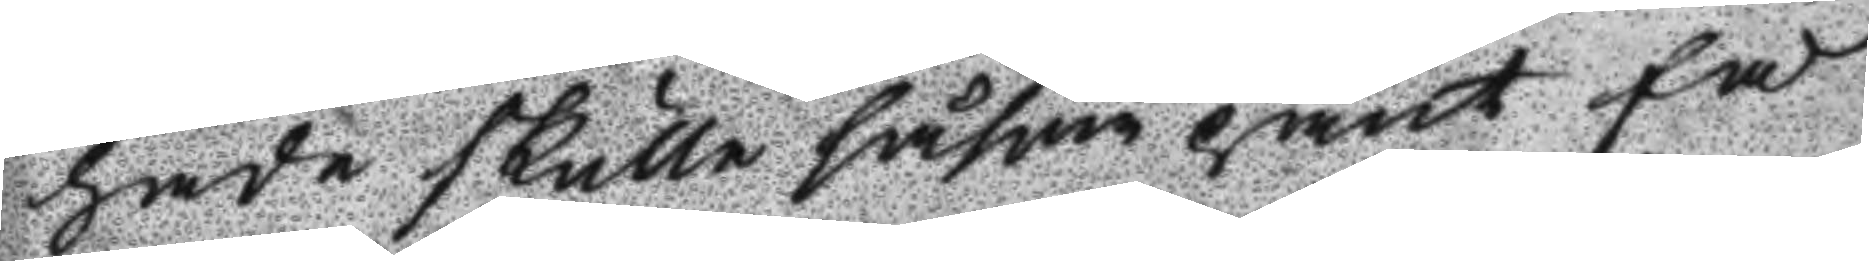hade skulle såsom pant få
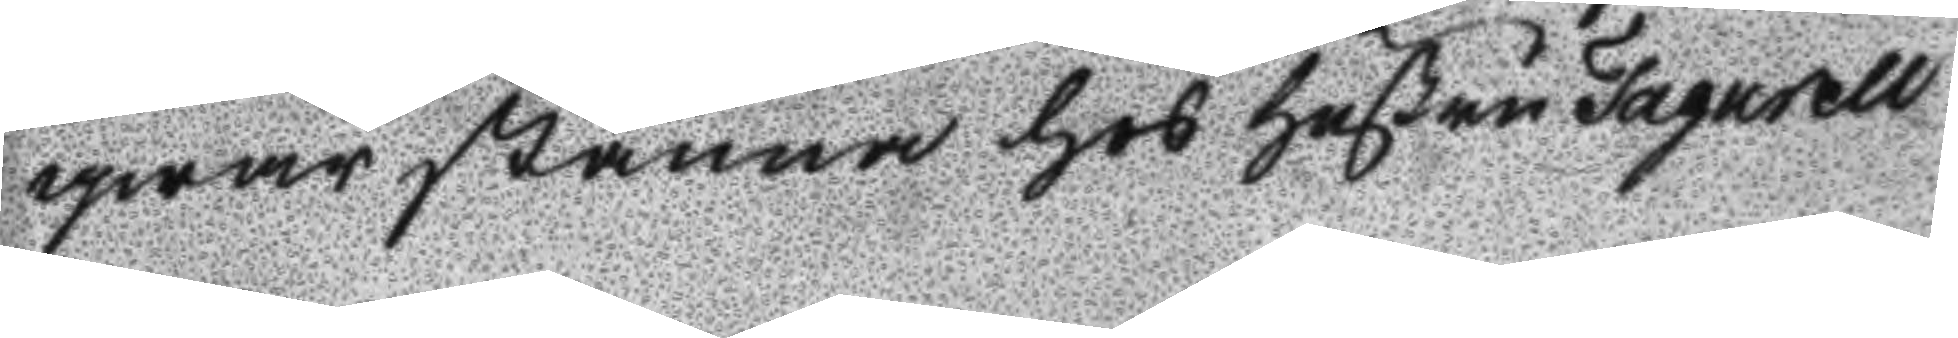qwarstanna hos Hustru Fagurell
